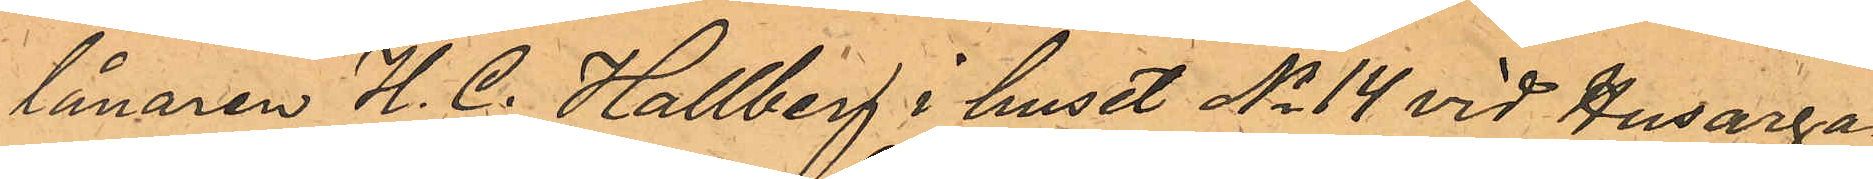lånaren H. C. Hallberg i huset No 14 vid Husarga¬
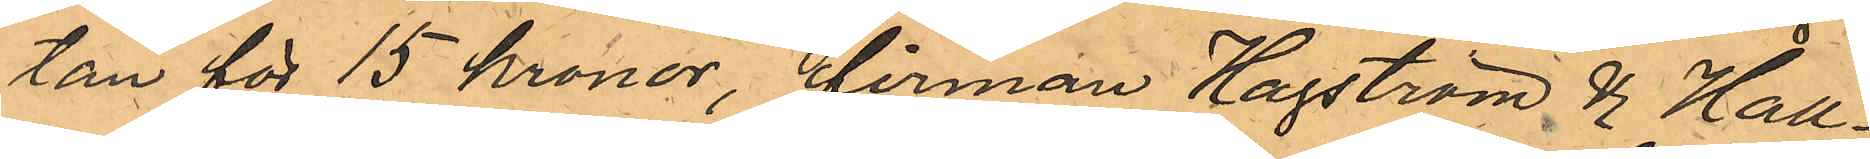tan för 15 kronor, firman Hagström och Hall¬
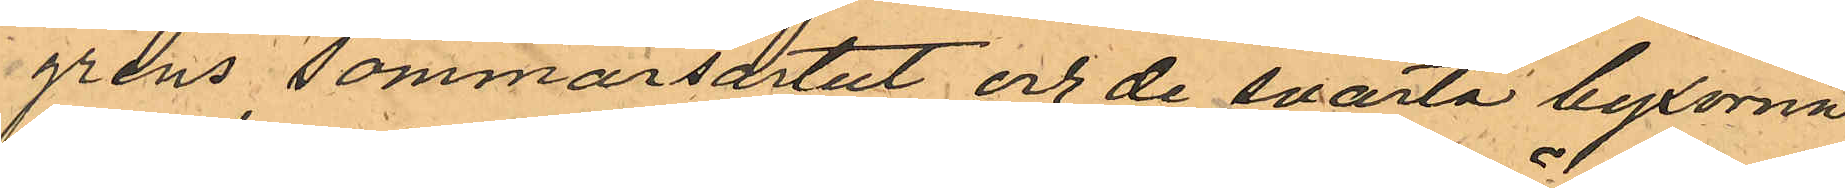grens sommarsartut och de svarta byxorna
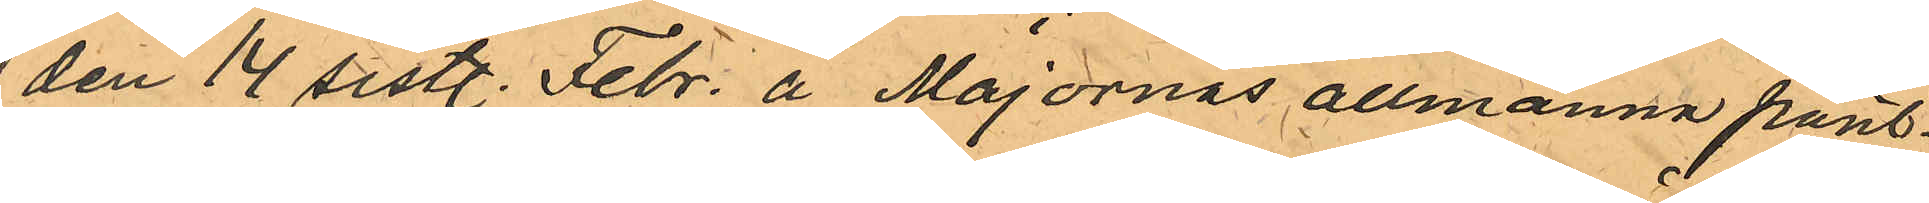den 14 sistl. Febr. å Majornas allmänna pant¬
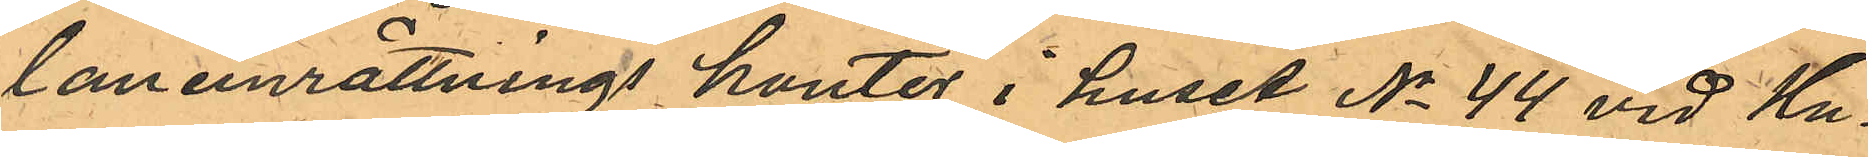laneinrättnings kontor i huset No 44 vid Hu¬
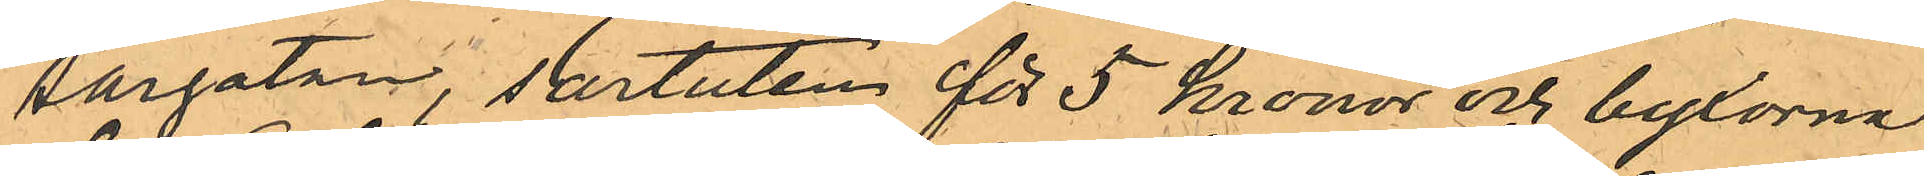sargatan, sartuten för 5 kronor och byxorna
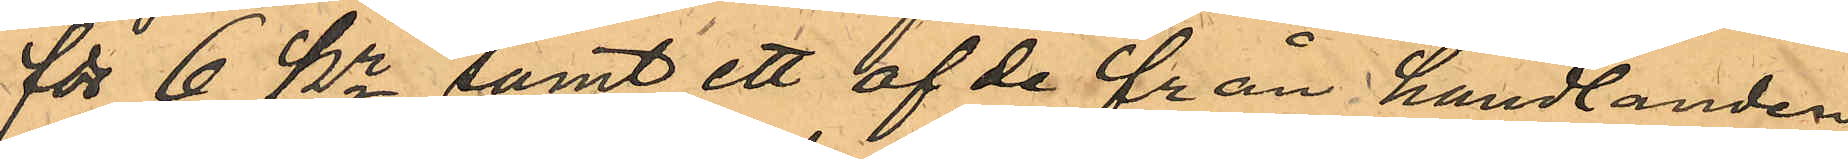för 6 Kr samt ett af de från handlanden
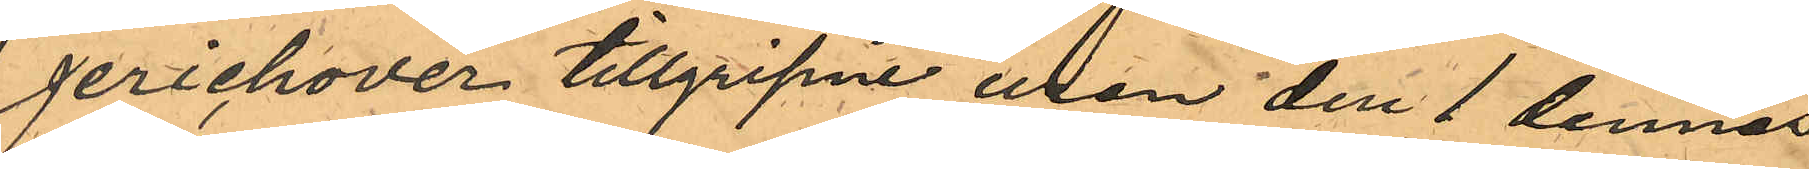Jerichover tillgripne uren den 1 dennes
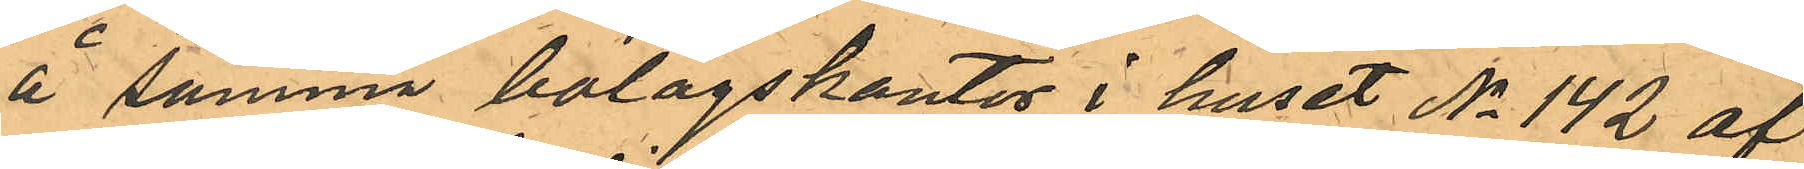å samma bolagskontor i huset No 142 af
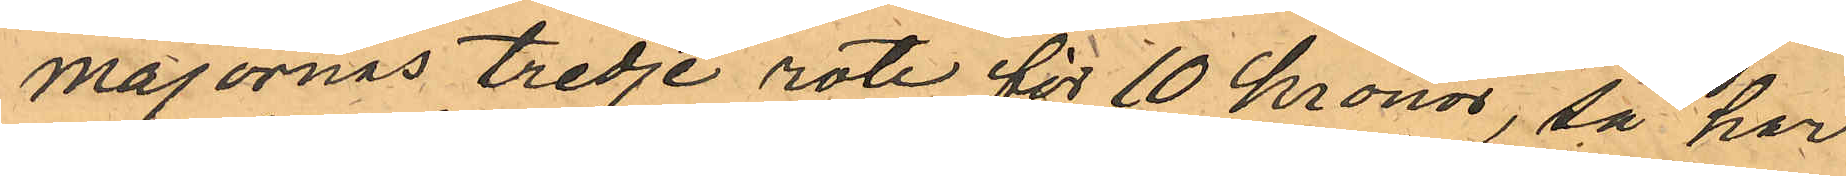Majornas tredje rote för 10 kronor, så har
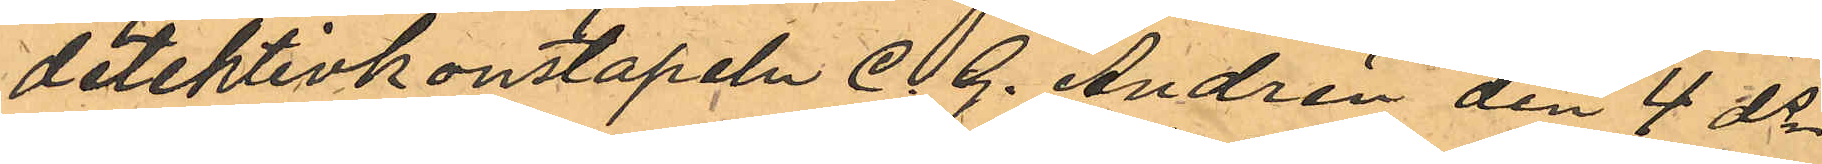detektivkonstapeln C. G. Andrén den 4 ds
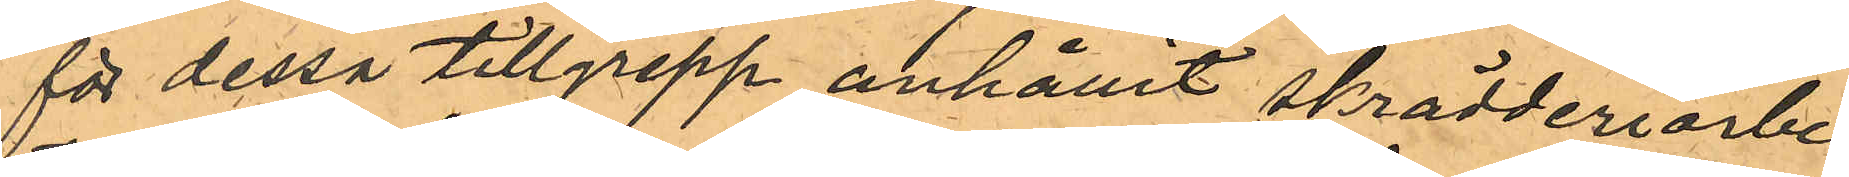för dessa tillgrepp anhållit skrädderiarbe¬
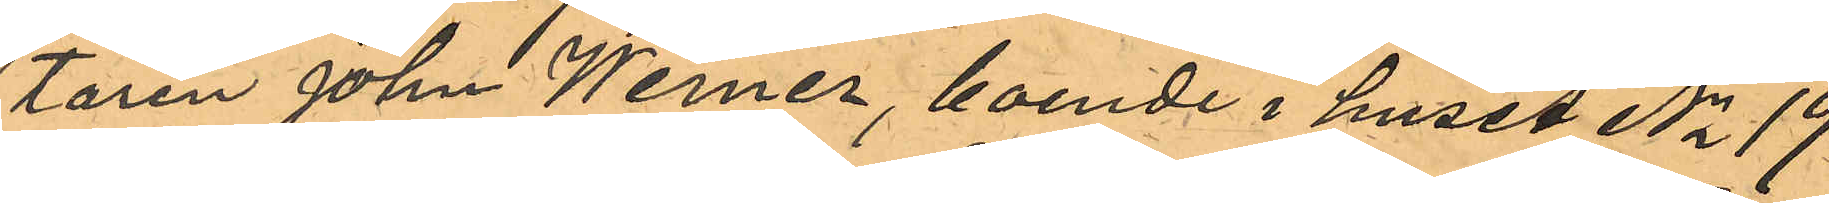taren John Werner, boende i huset No 19
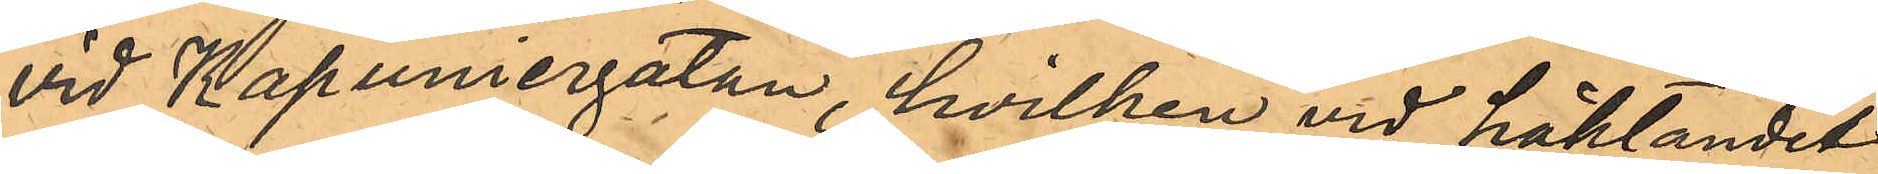vid Kapuniergatan, hvilken vid häktandet
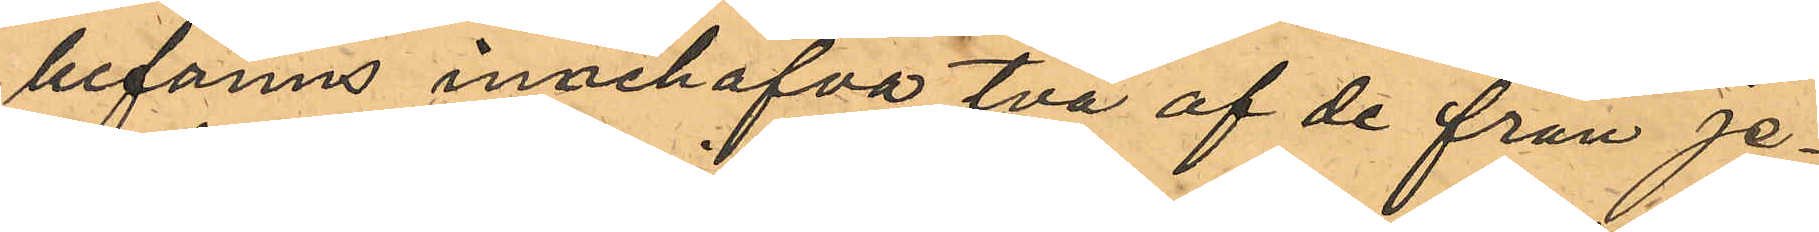befanns innehafva två af de från Je¬
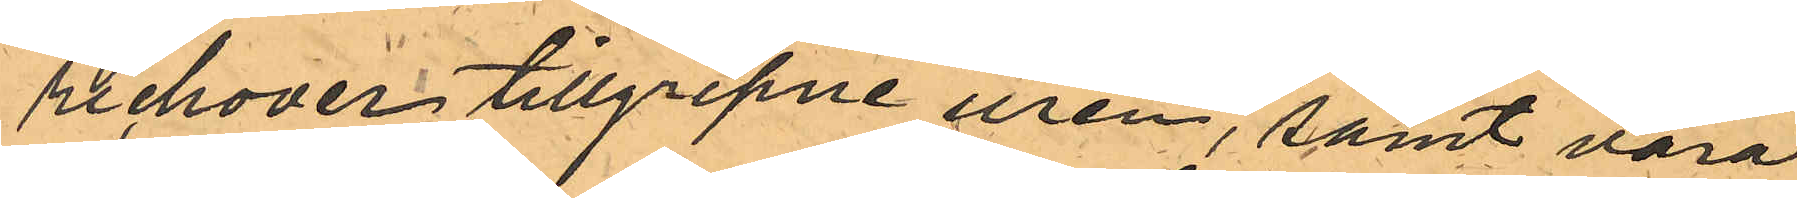richover tillgripne uren, samt vara
